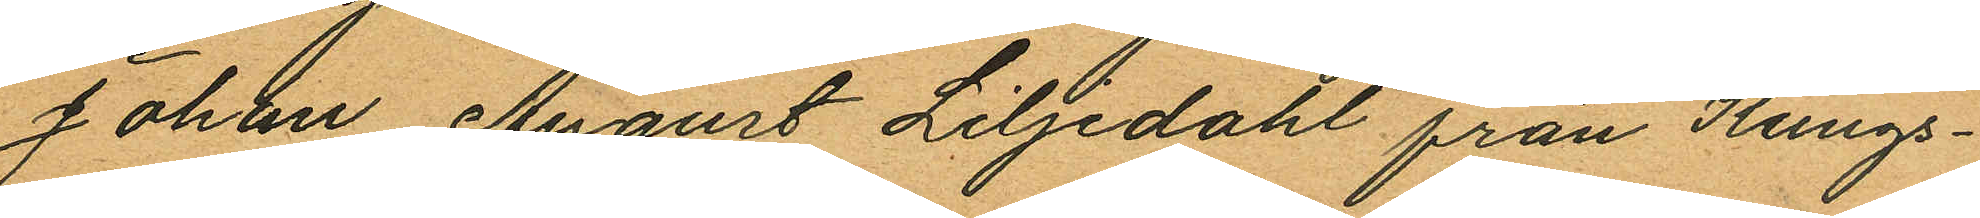Johan August Liljedahl från Kungs¬
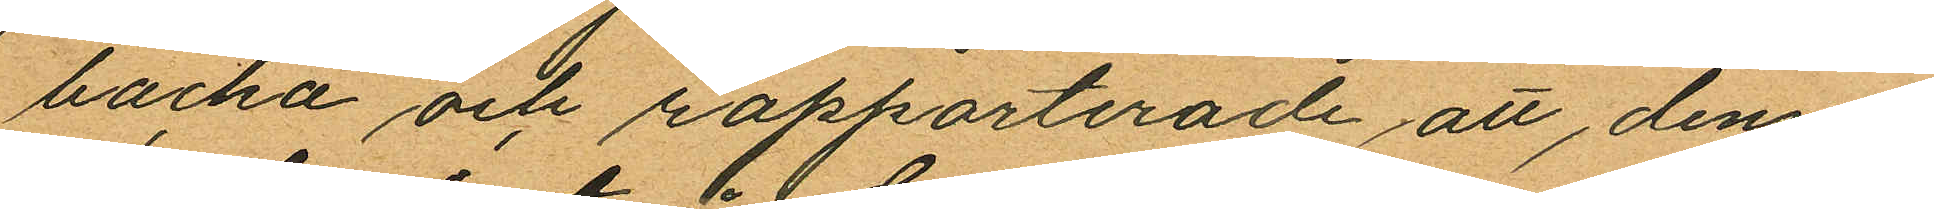backa och rapporterade att denne
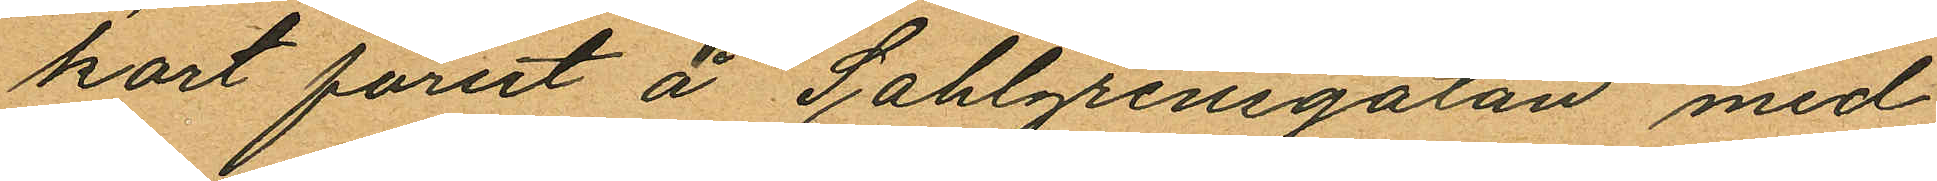kort förut å Sahlgrensgatan med
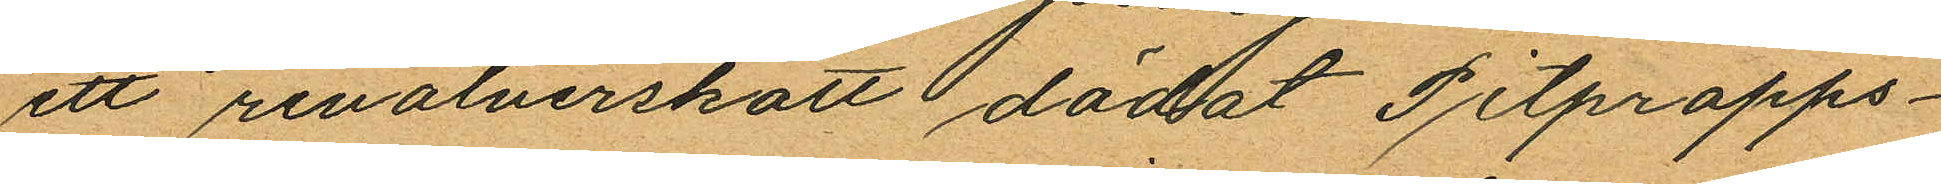ett revolverskott dödat Pitpropps¬
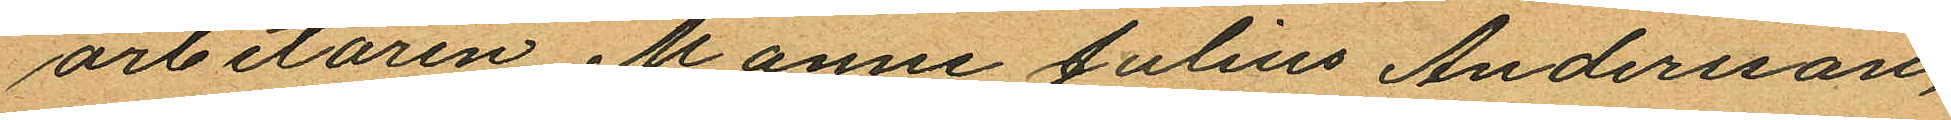arbetaren Manne Julius Andersson,
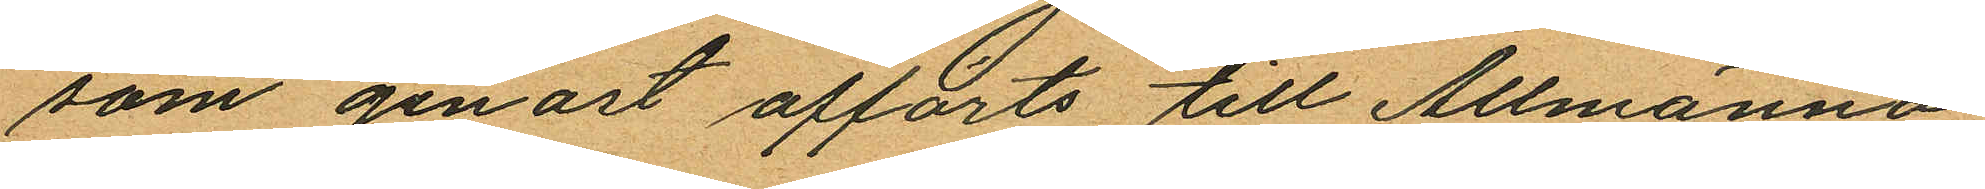som genast afförts till Allmänna
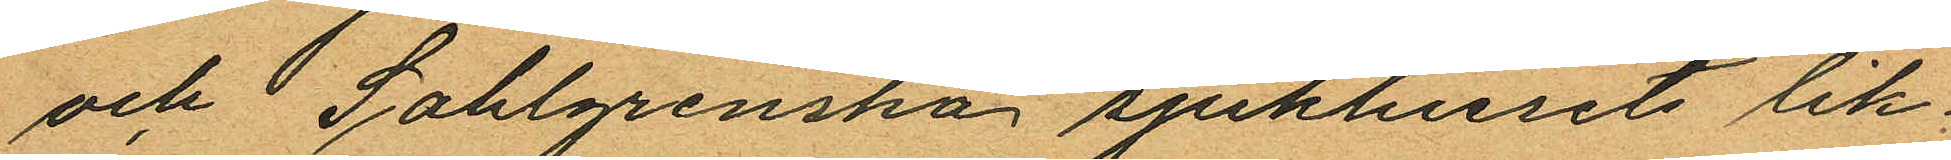och Sahlgrenska sjukhusets lik¬
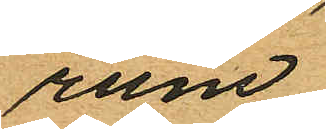rum.
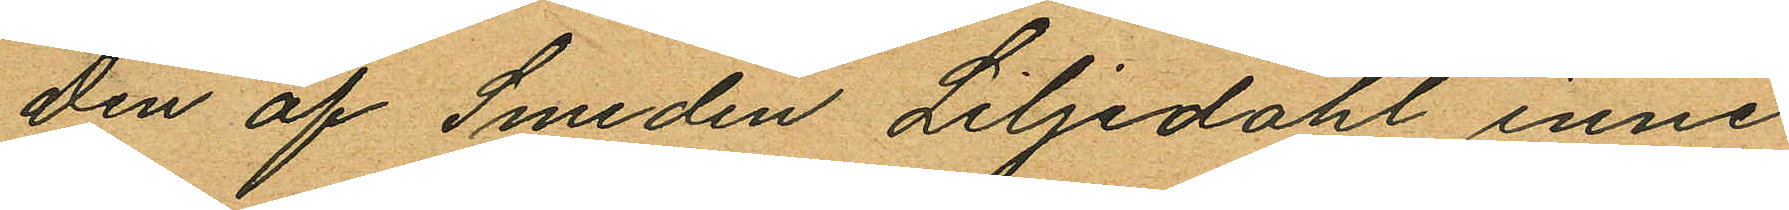Den af Smeden Liljedahl inne
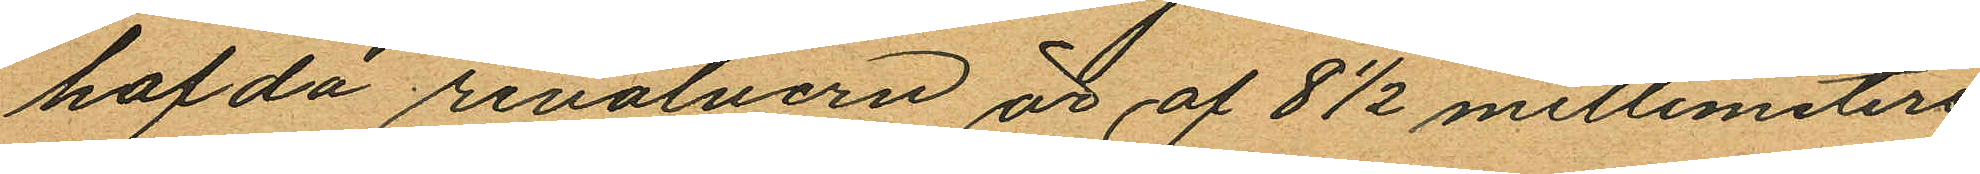hafda revolvern är af 8 1/2 millimeters
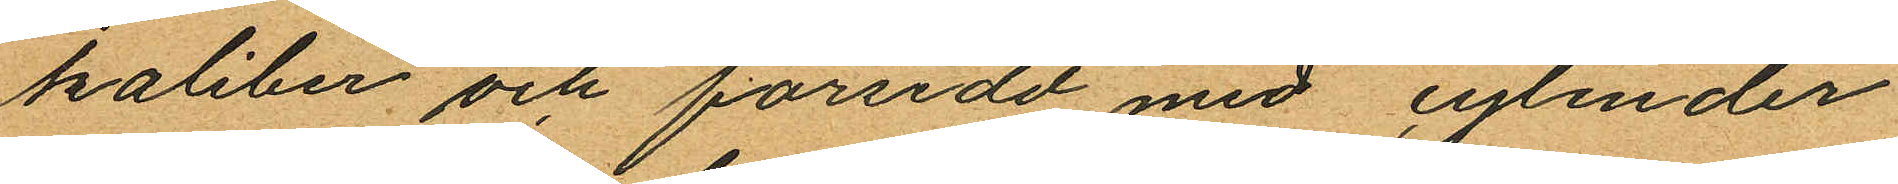kaliber och försedd med cylinder
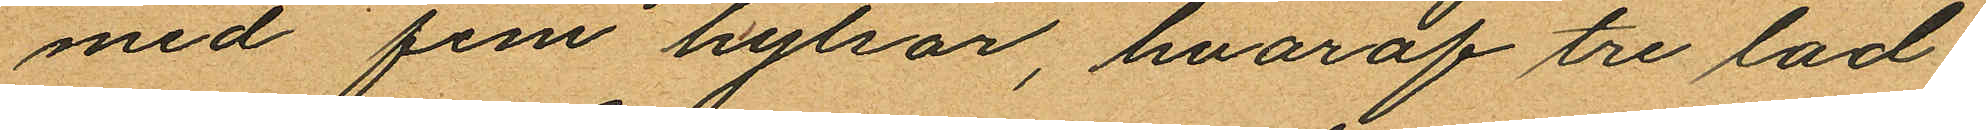med fem hylsor, hvaraf tre lad
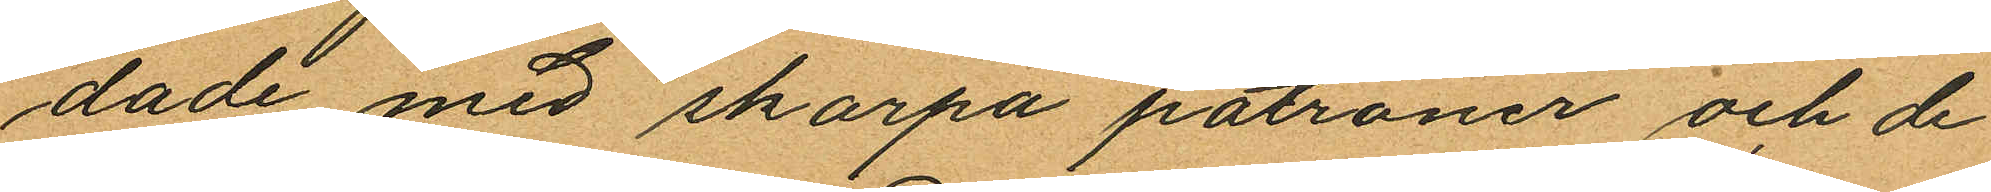dade med skarpa patroner och de
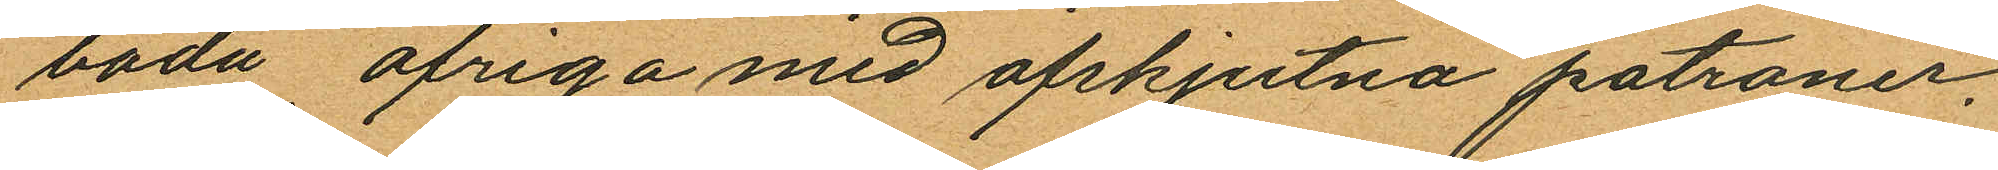båda öfriga med afskjutna patroner.
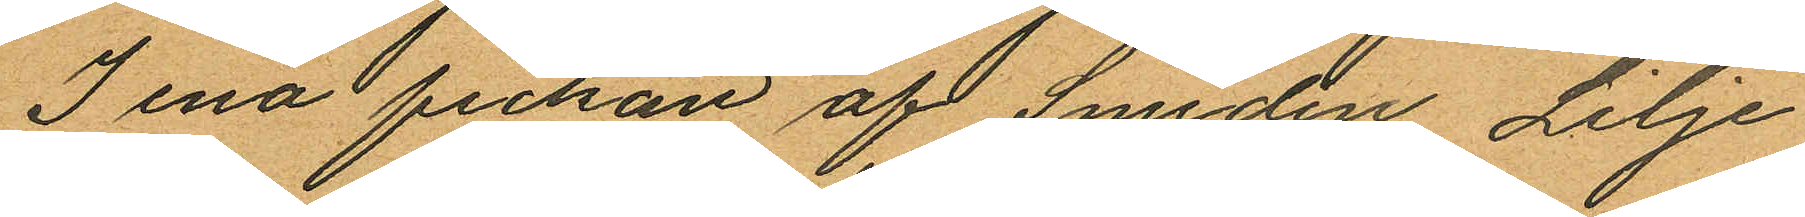I ena fickan af Smeden Lilje¬
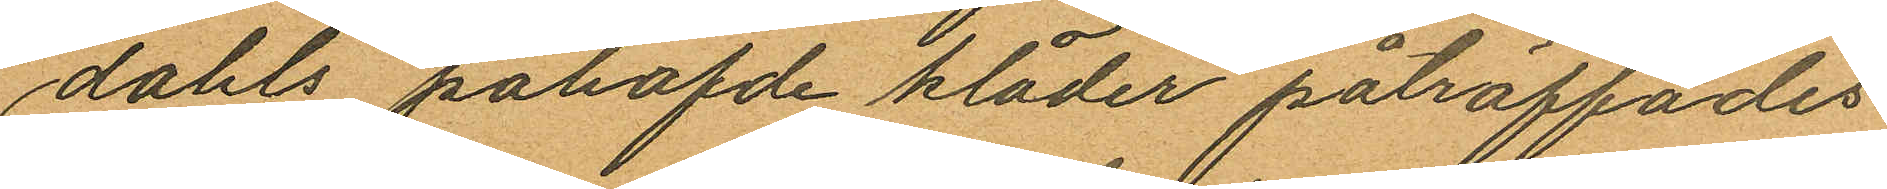dahls påhafvde kläder påträffades
